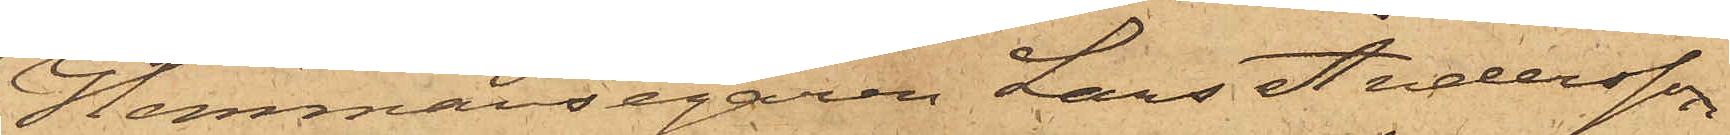Hemmansegaren Lars Andersson
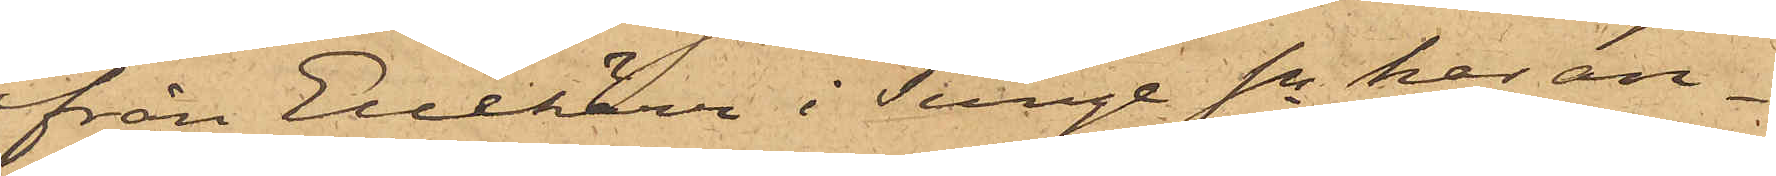från Enekärr i Tunge Sn har an¬
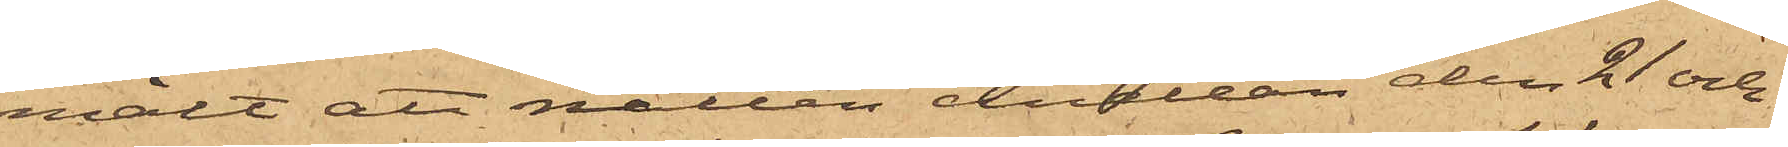mält att natten emellan den 21 och
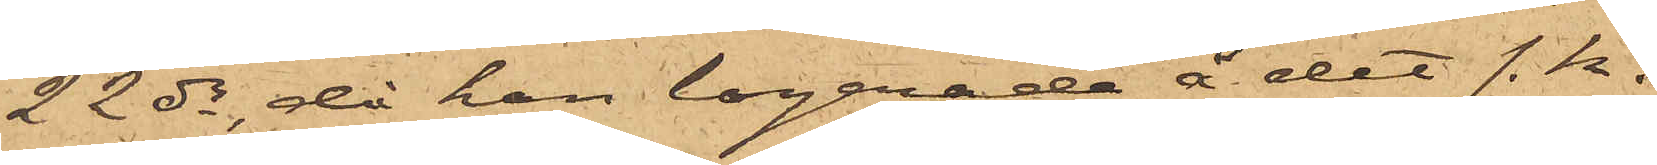22 ds, då han logerade å det s. k.
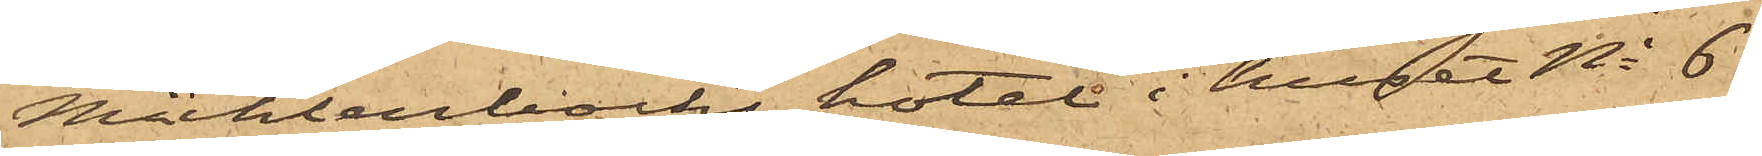Mühlenbocks hotel i huset No 6
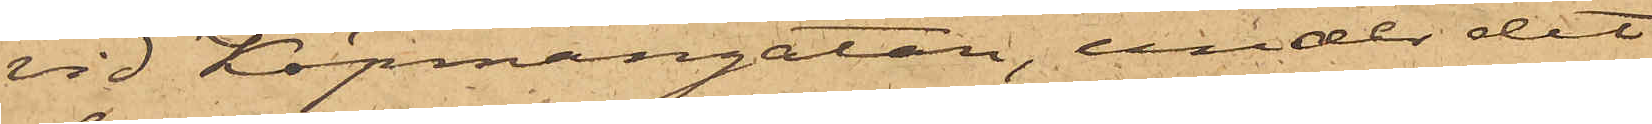vid Köpmangatan, under det
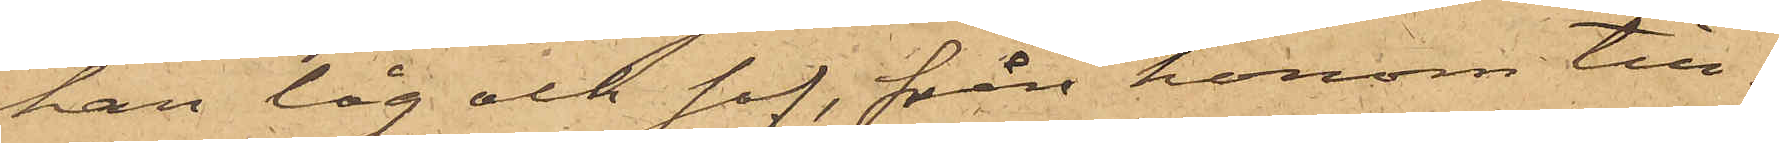han låg och sof, från honom till¬
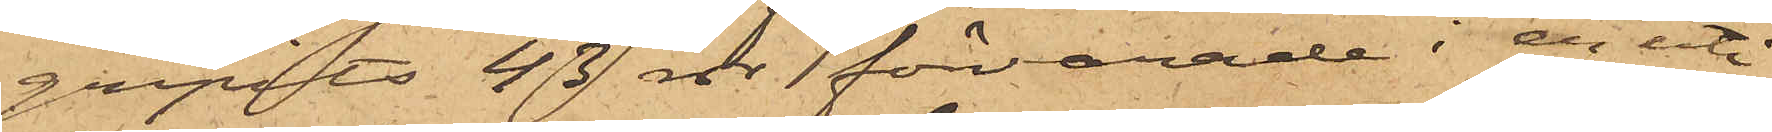gripits 43 rdr förvarade i en uti
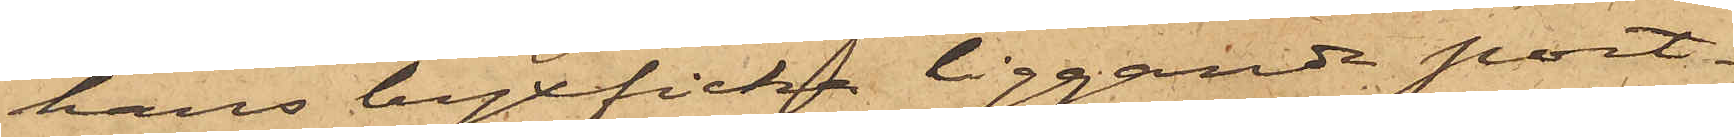hans byxficka liggande port¬
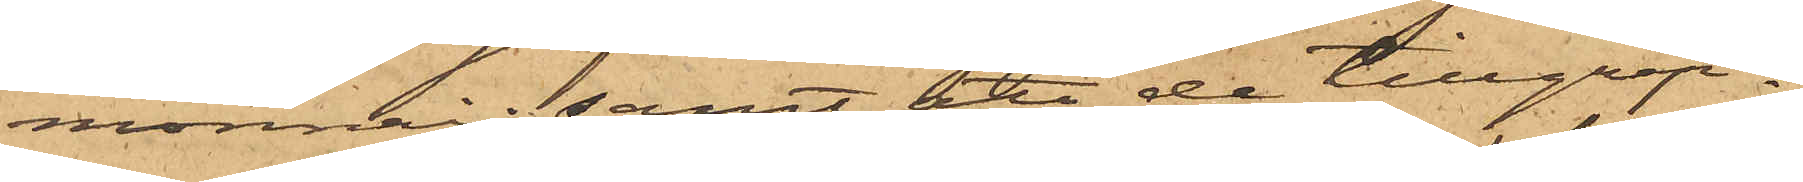monnai; samt att de tillgrip¬
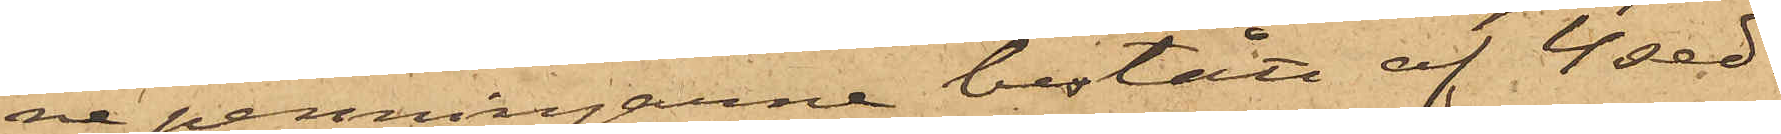ne penningarne bestått af 4 sed¬
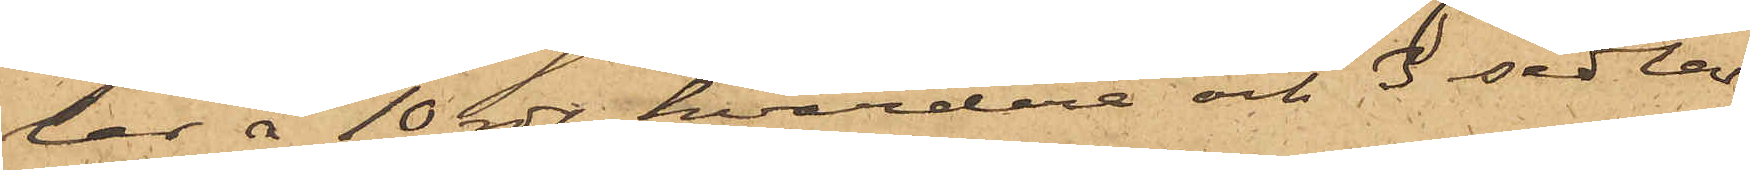lar å 10 rdr hvardera och sedlar
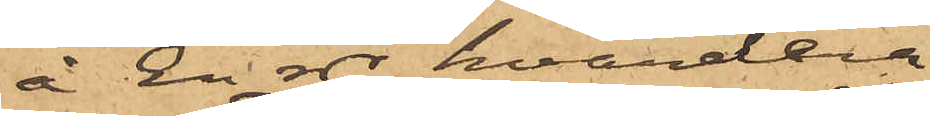å En rdr, hvardera.
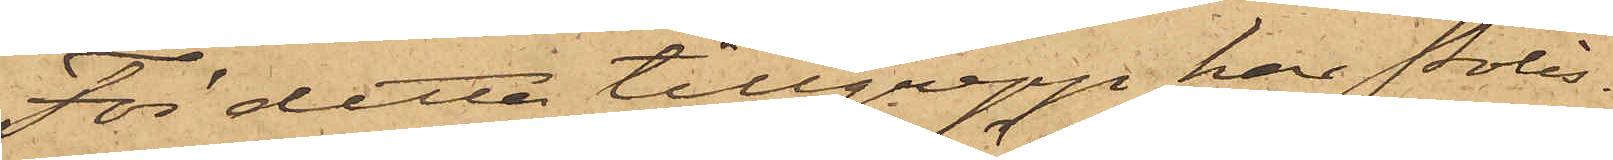För detta tillgrepp har Polis¬
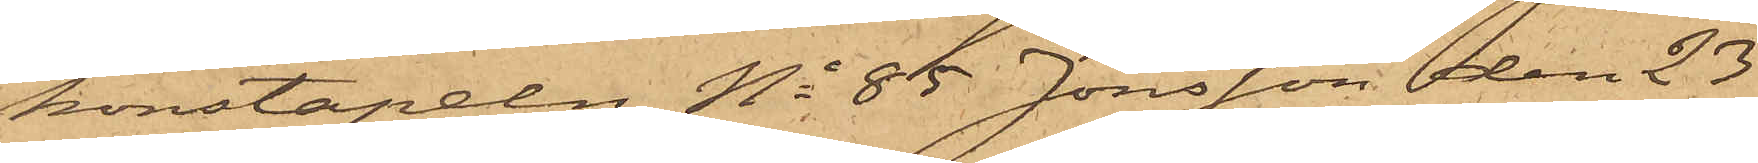konstapeln No 85 Jönsson den 23
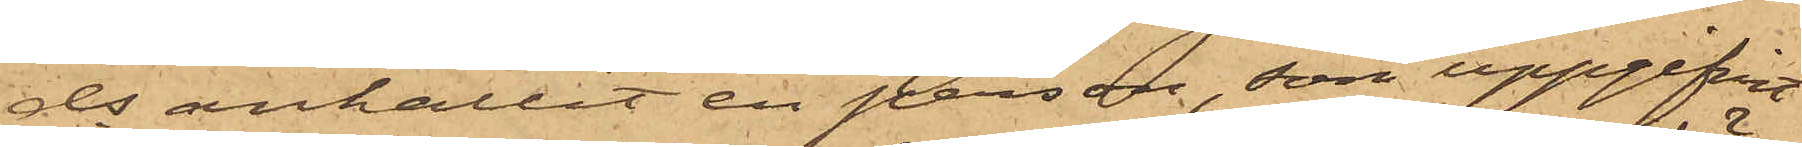ds anhållit en person, som uppgifvit
